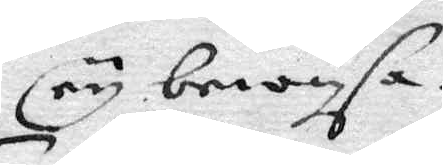ey bewysa.
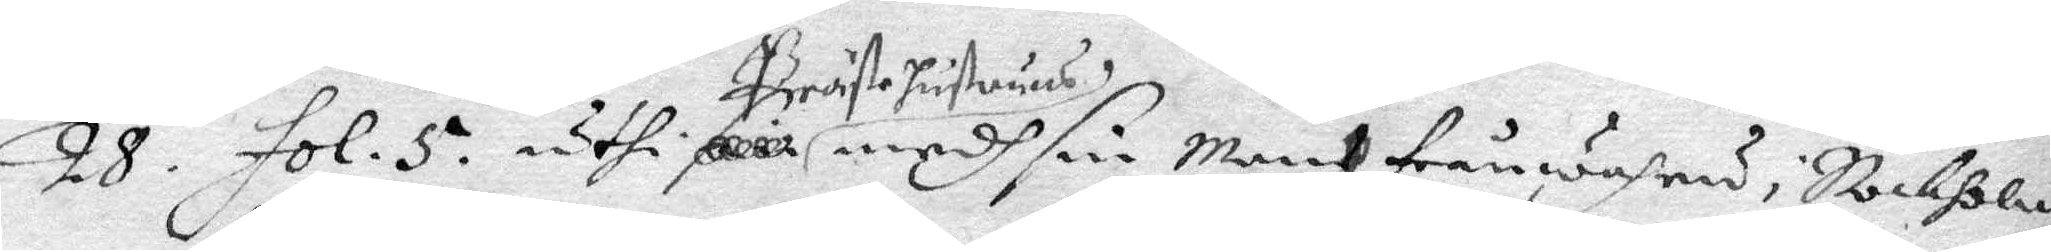28. fol. 5. uthi Prästehustrun medh sin Man frånwahru i Stokholm
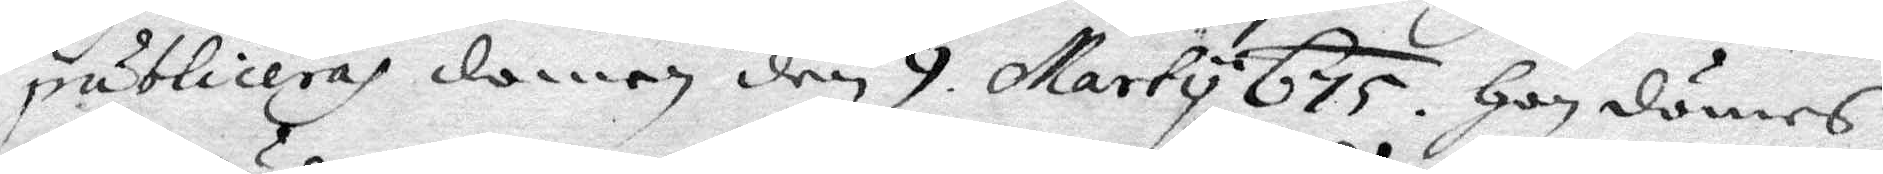publiceras domen den 9 Marty 675.Han dömes
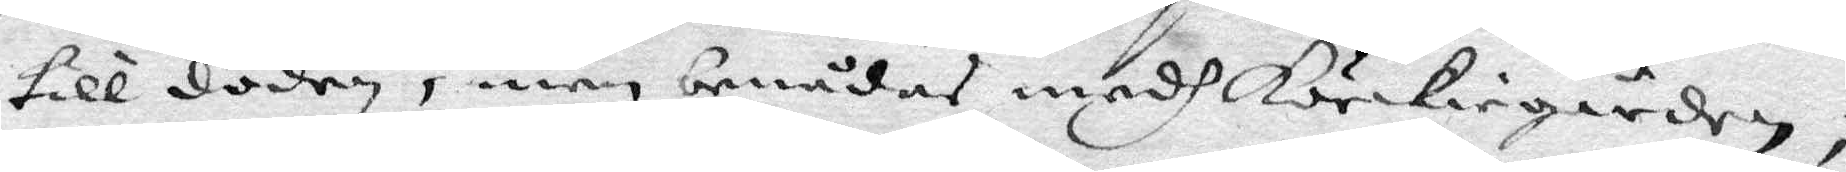till döden, men benådas medh Körkiegården,
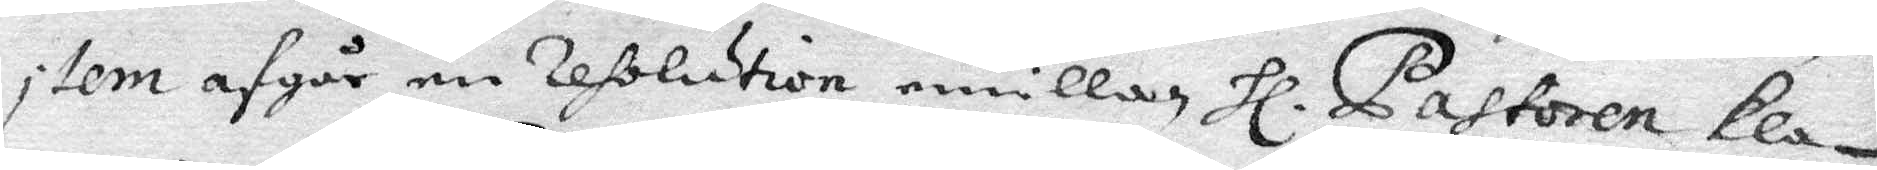item afgår en resolution emellan Hl Pastoren kla¬
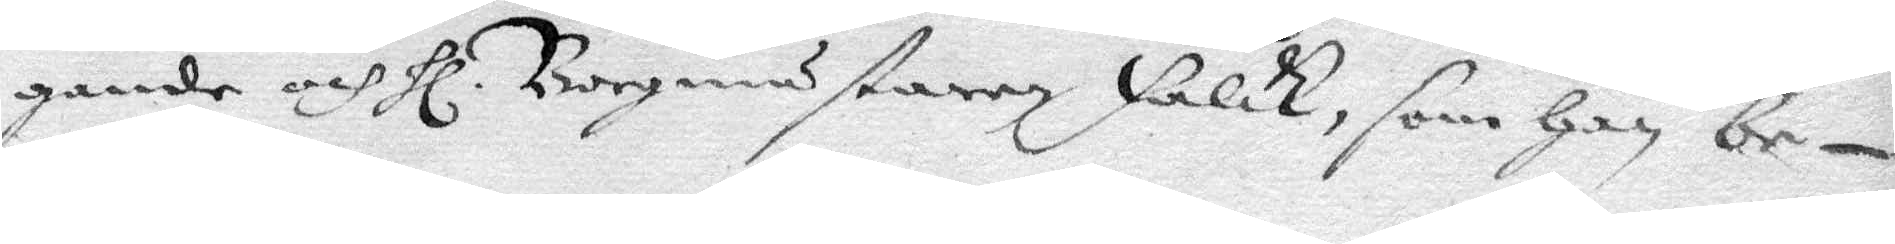gande och Hl Borgmästaren Falk, som han be
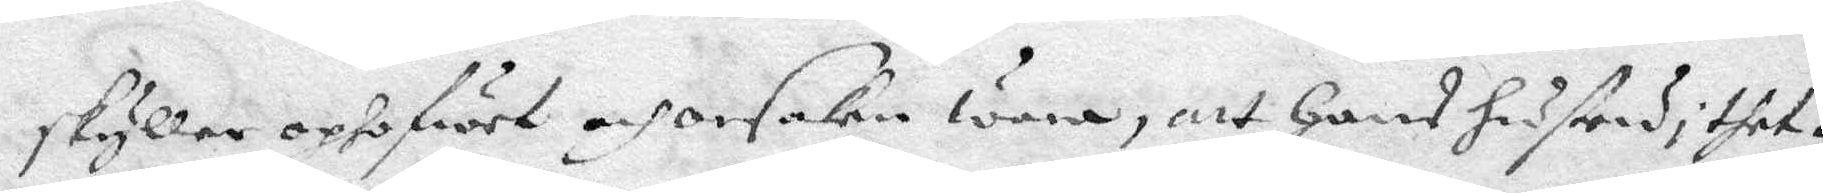skyller ophofwet och orsaken wara, att Hans hustru i thet¬
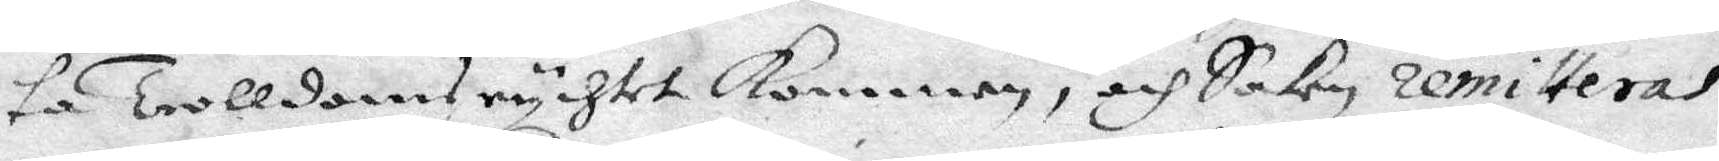ta Trolldomsrychtet kommen. och Saken remitteras
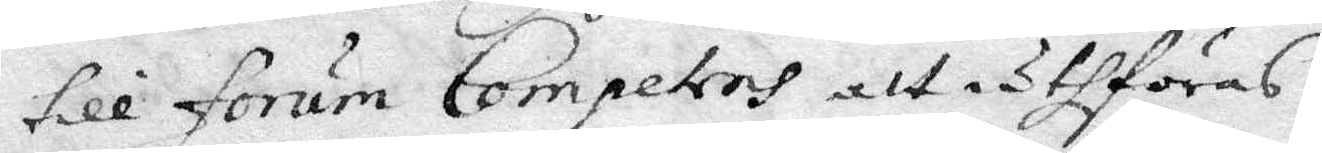till forum Competens att uthföras.
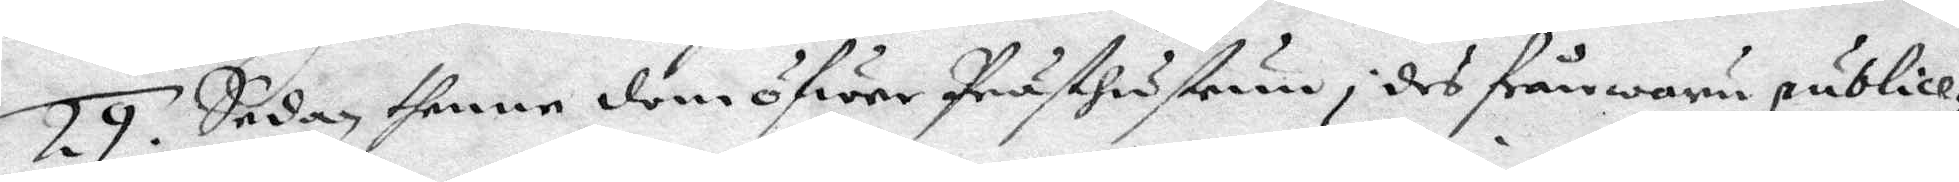29. Sedan thenne dom öfwer Prästhustrun i des frånwaru publice¬
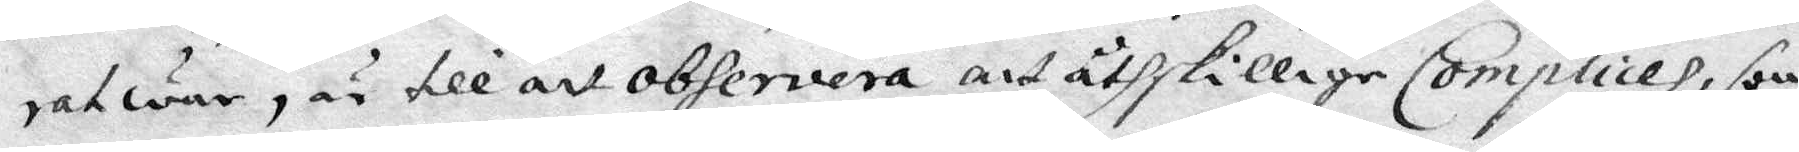rat war, är till att observera att åthskillige Complices, som
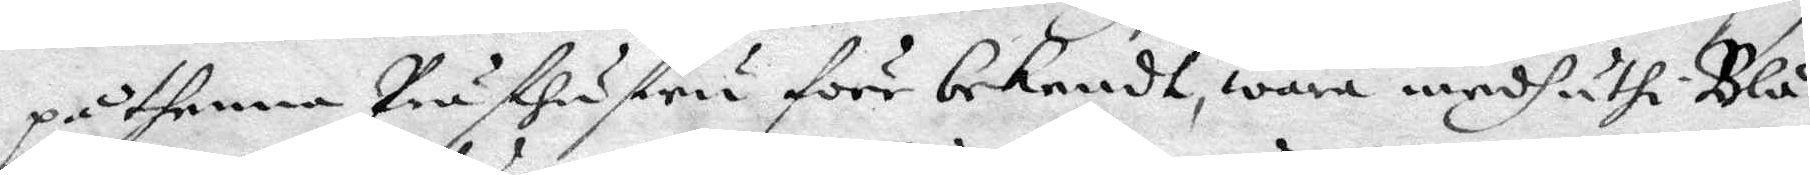på thenna Prästhustru förr bekendt, wara medh uthi Blå¬
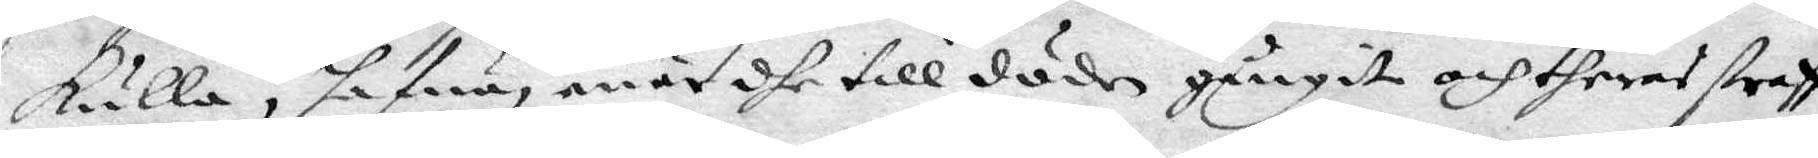kulla, hafwa enär dhe till döden gångit och theras straff
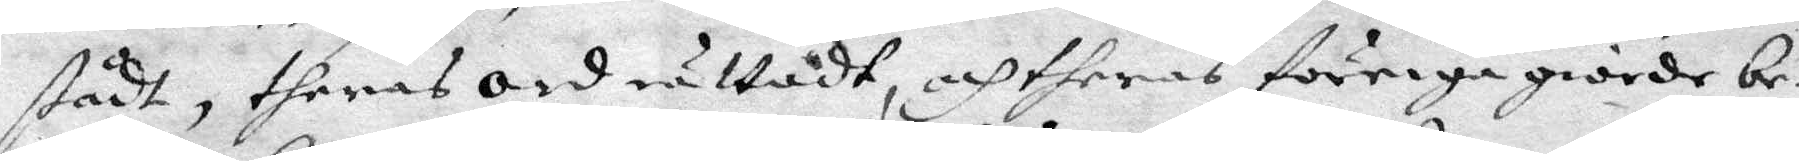stådt, theras ord rättadt, och theras förriga giorde be¬
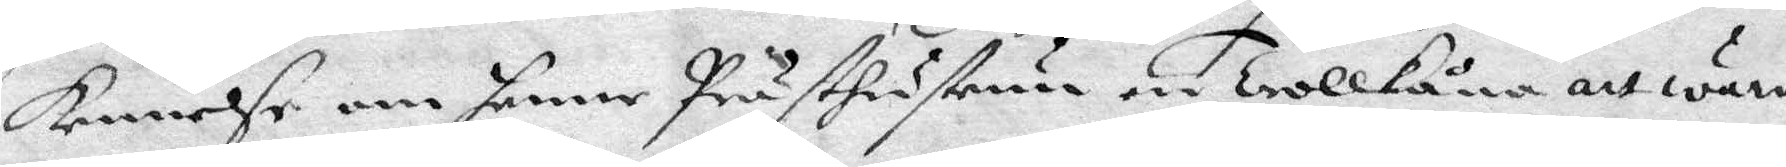kennelse om samme Prästhustri en Trollkåna att wara,
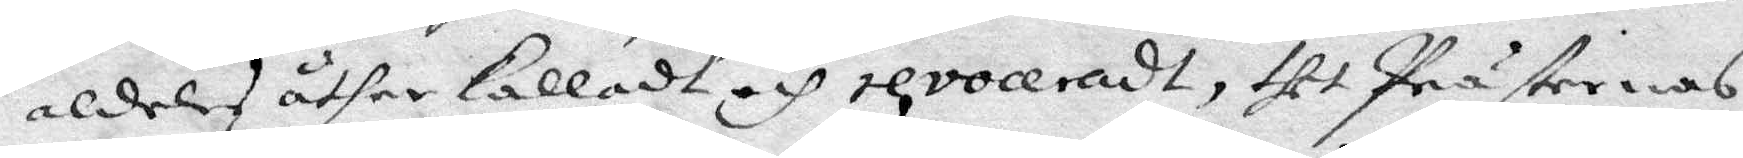aldeles åther kalladt och revoceradt, thet Prästernas,
